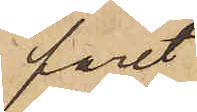paret
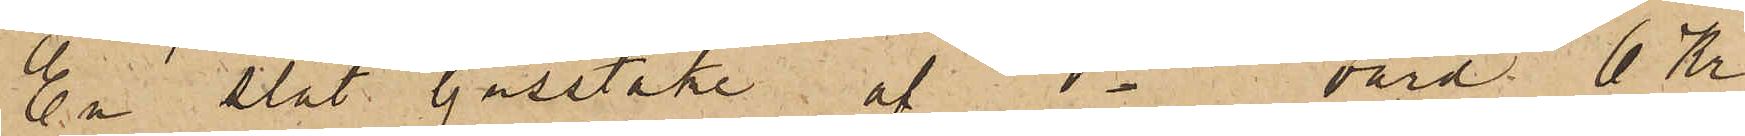En slät ljusstake af do värd 6 Kr
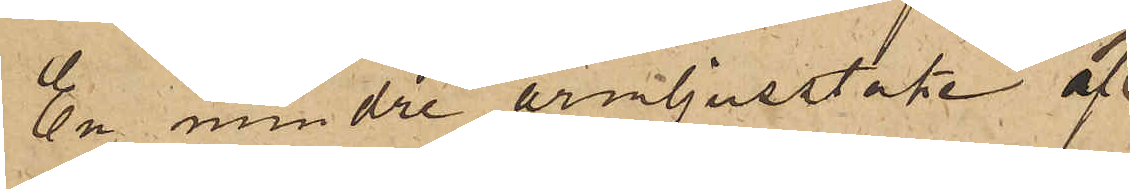En mindre armljusstake af
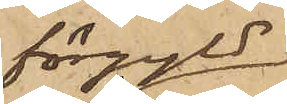förgyld
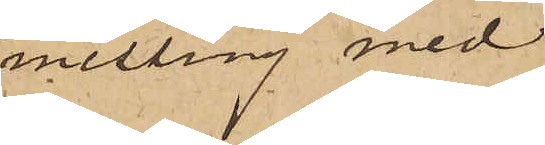messing med
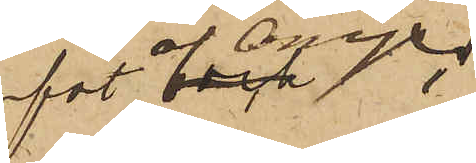fot af Onyx
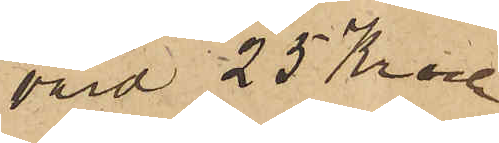värd 25 Kronor
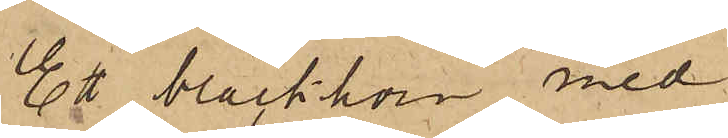Et bläckhorn med
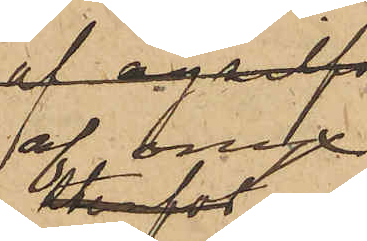af onyx
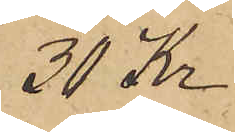30 Kr
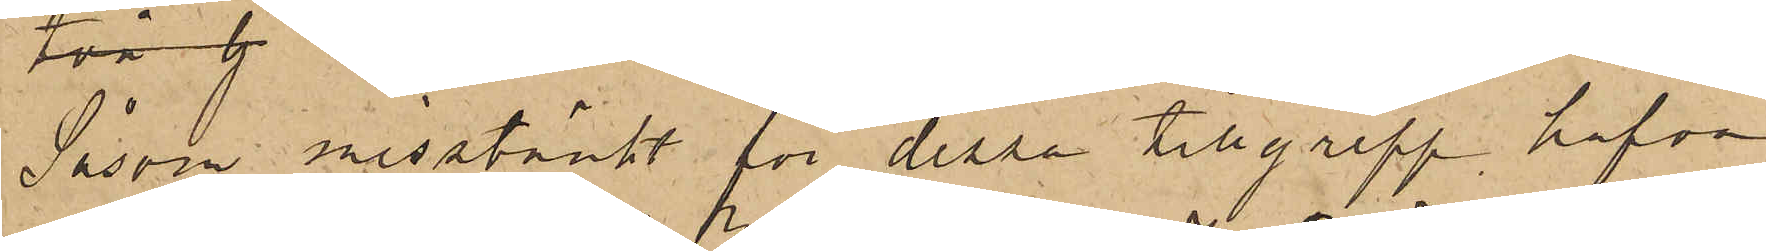Såsom misstänkt för dessa tillgrepp hafva
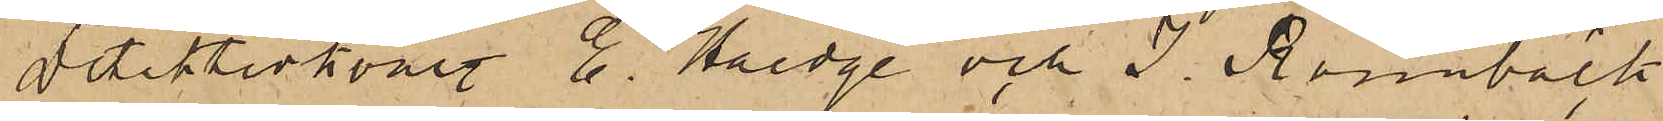Detektivkonst. E. Haedge och J. Rönnbäck
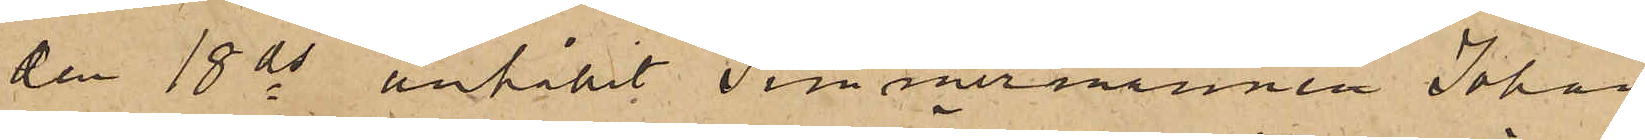den 18 ds anhållit Timmermannen Johan
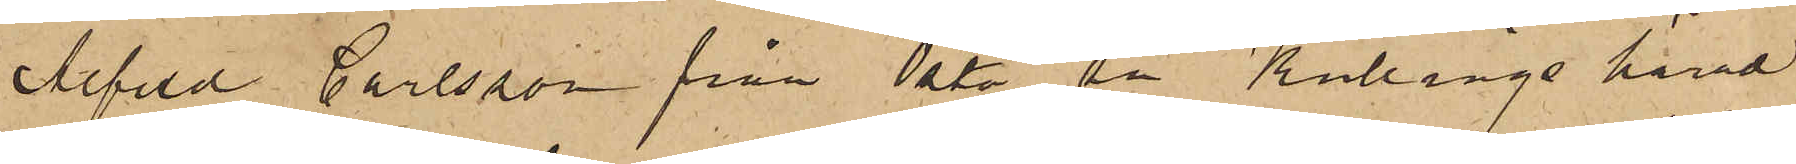Alfred Carlsson från Östa sn Kullings härad
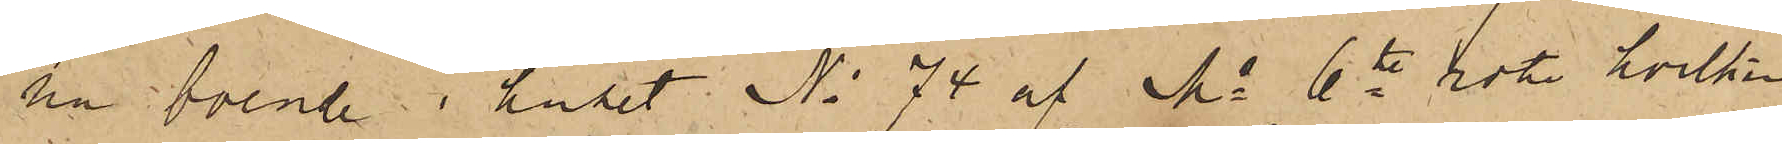nu boende i huset No 74 af Ms 6te rote hvilken
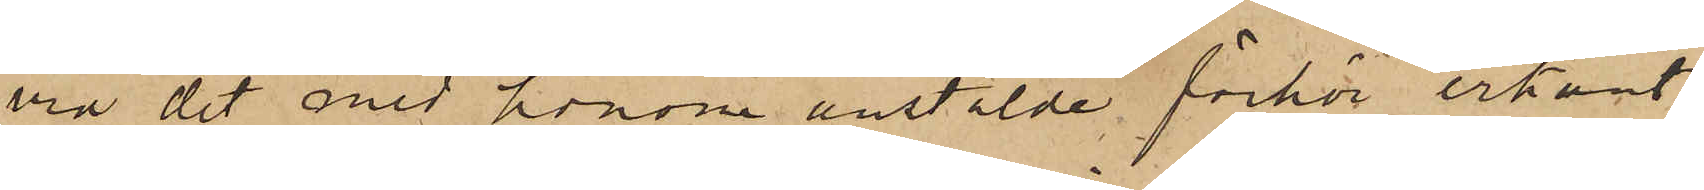vid det med honom anstälde förhör erkänt,
